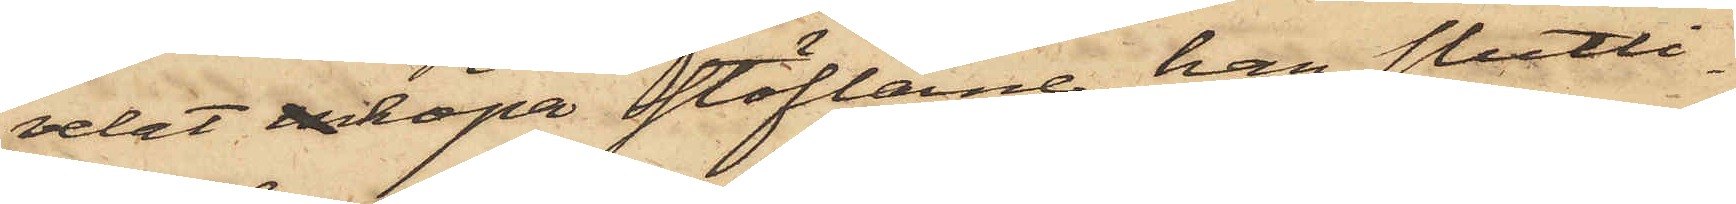velat inköpa stöflarne, han slutli¬
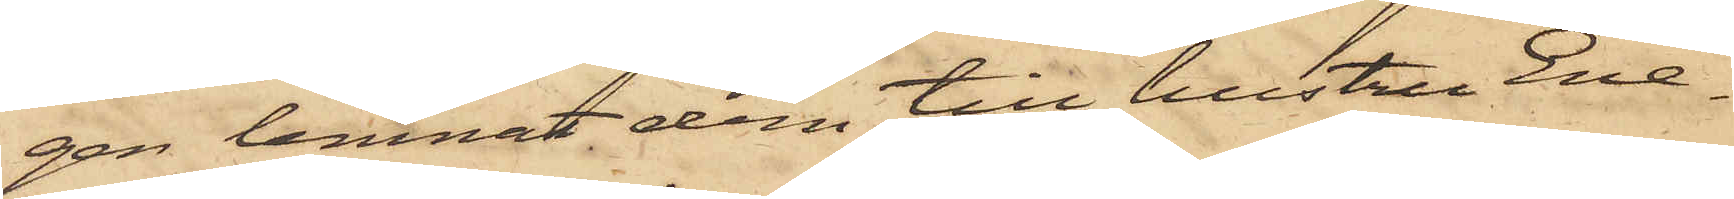gen lemnat dem till hustru Ene¬
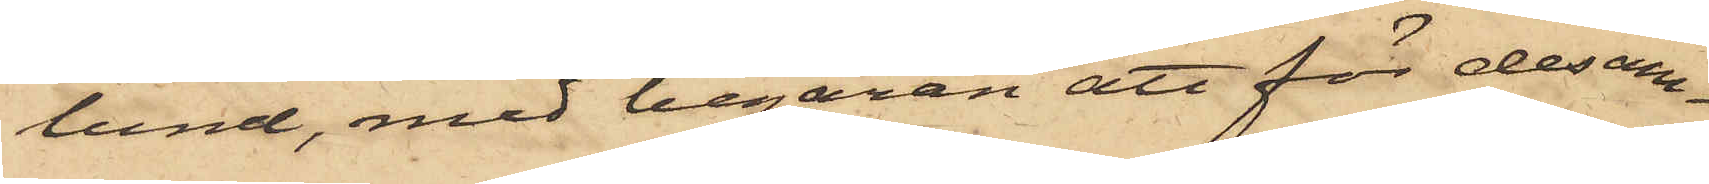lund, med begäran att för desam¬
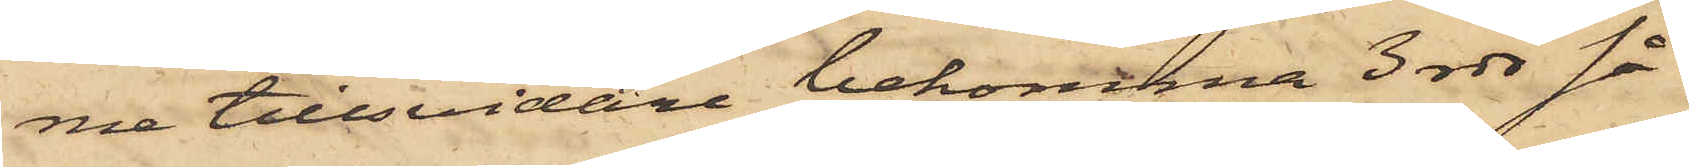me tillsvidare bekomma 3 rdr så¬
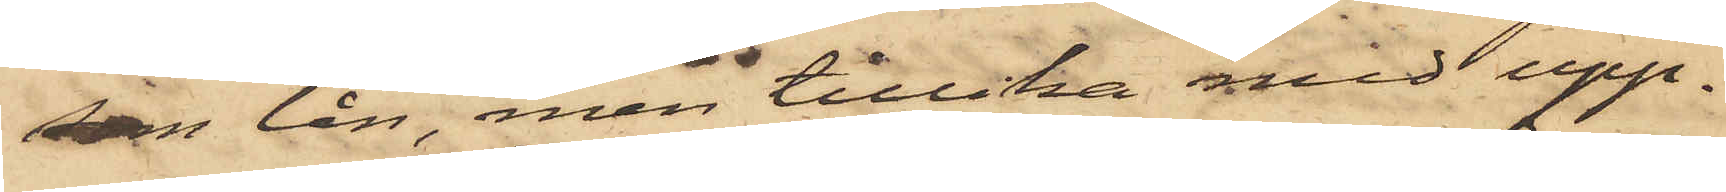som lån, men tillika med upp¬
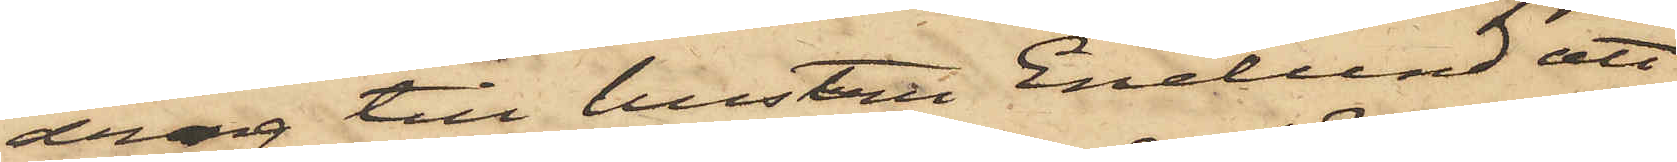drag till hustru Enelund att
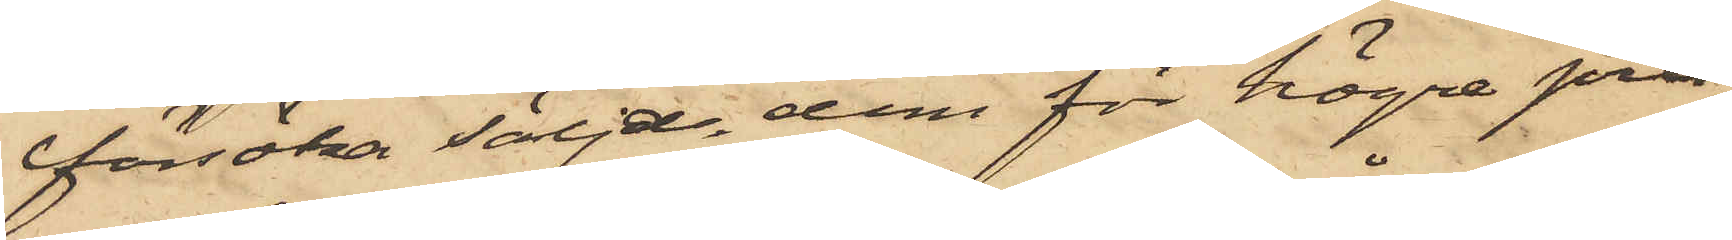försöka följde dem för högre pris;
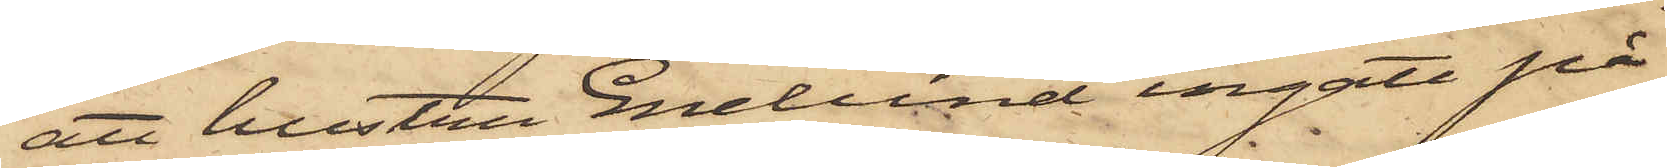att hustru Enelund ingått på
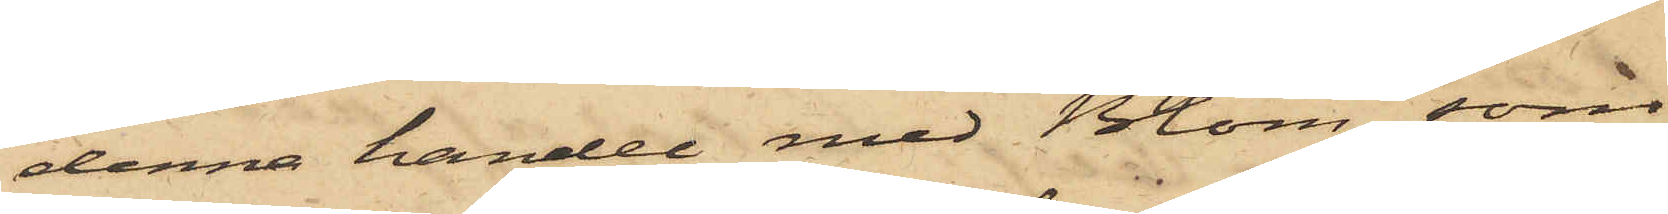denna handel med Blom, som
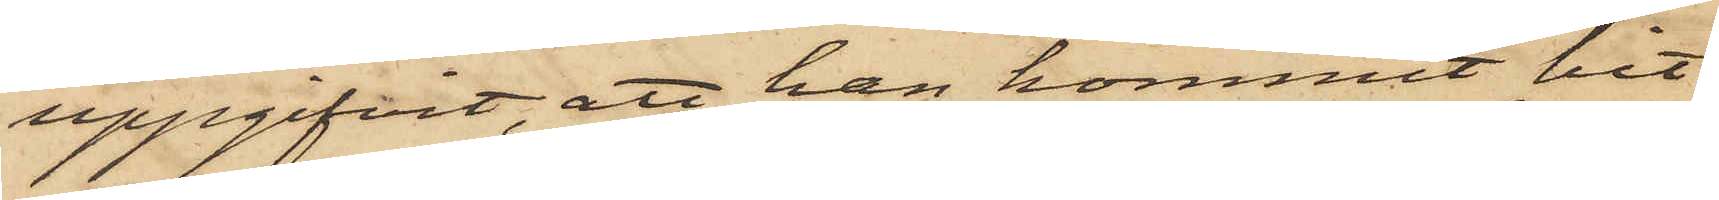uppgifvit, att han kommit hit
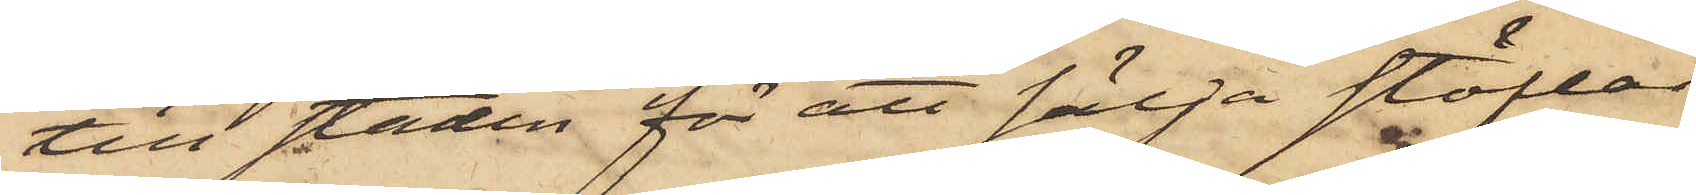till staden för att sälja stöflar
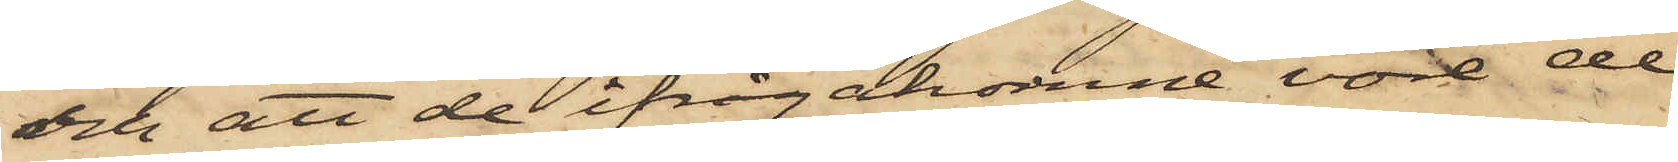och att de ifrågakomne vore de
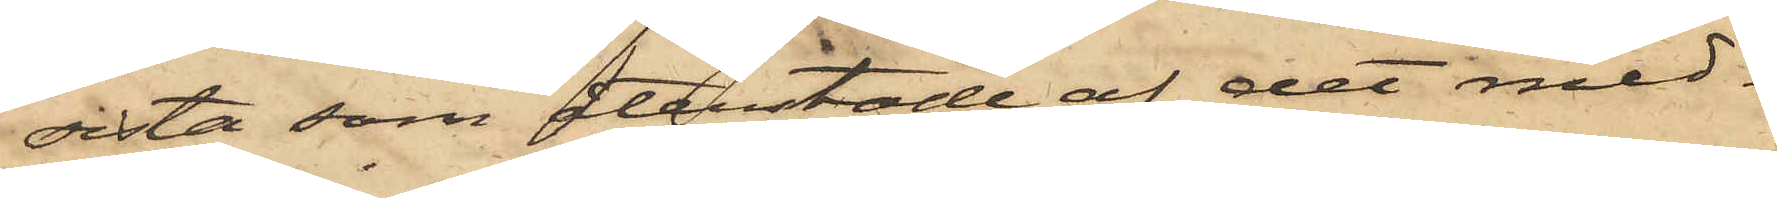sista som återstode af det med¬
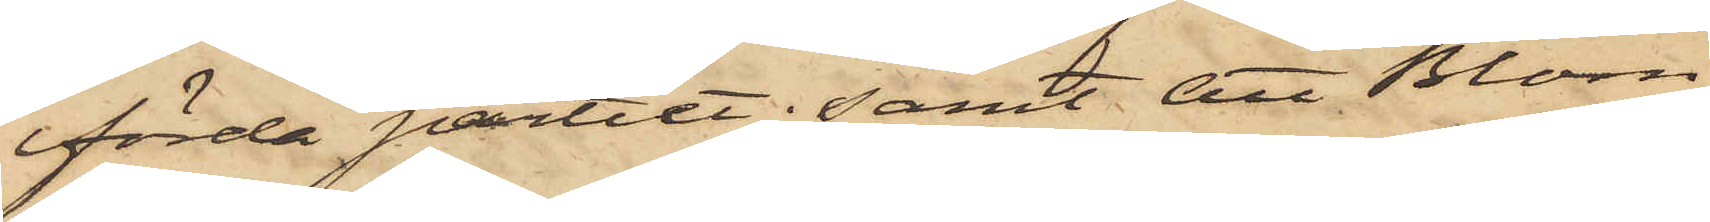förda partiet; samt att Blom
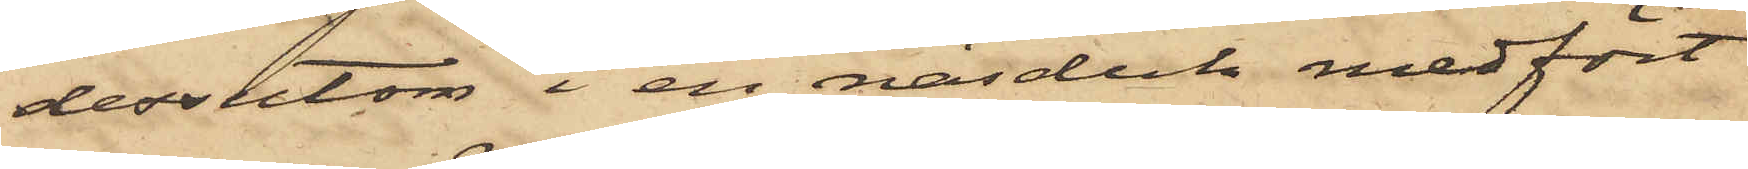dessutom i en näsduk medfört
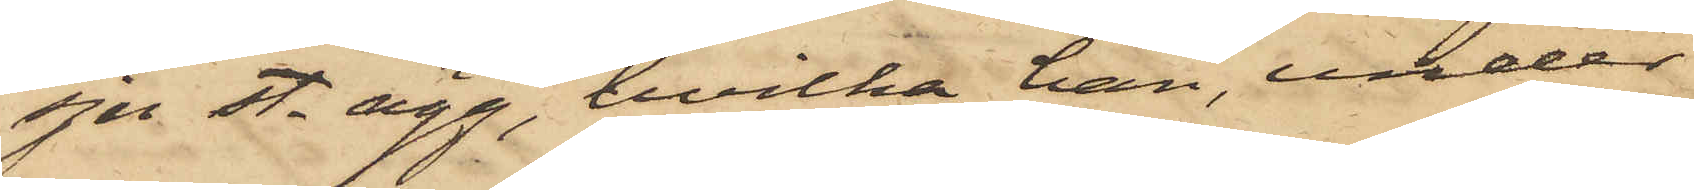sju st. ägg, hvilka han, under
